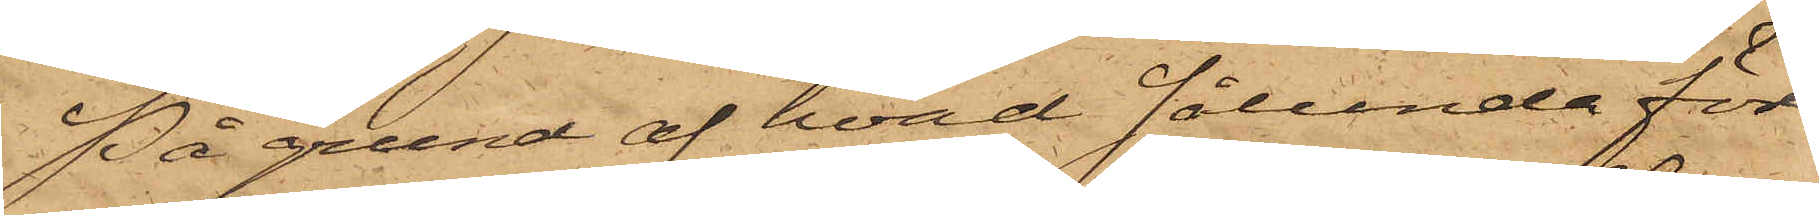På grund af hvad sålunda före¬
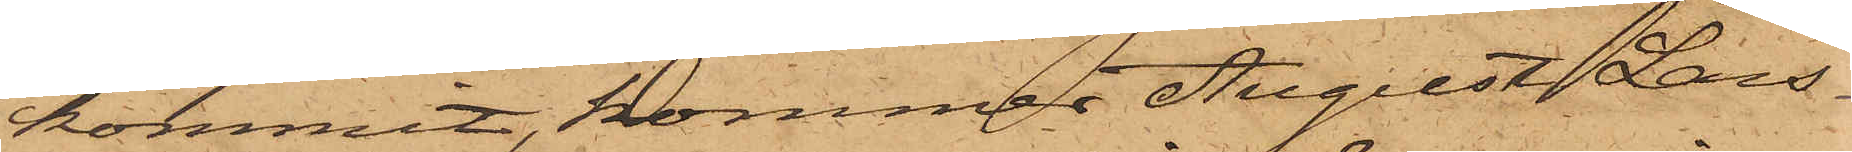kommit, kommer August Lars¬
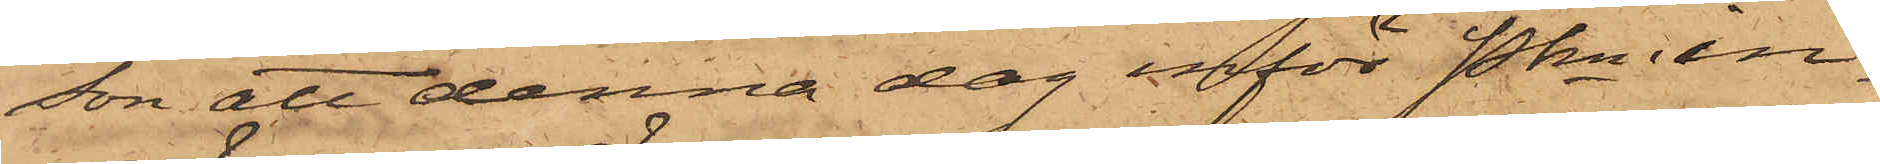son att denna dag inför Pkn in¬
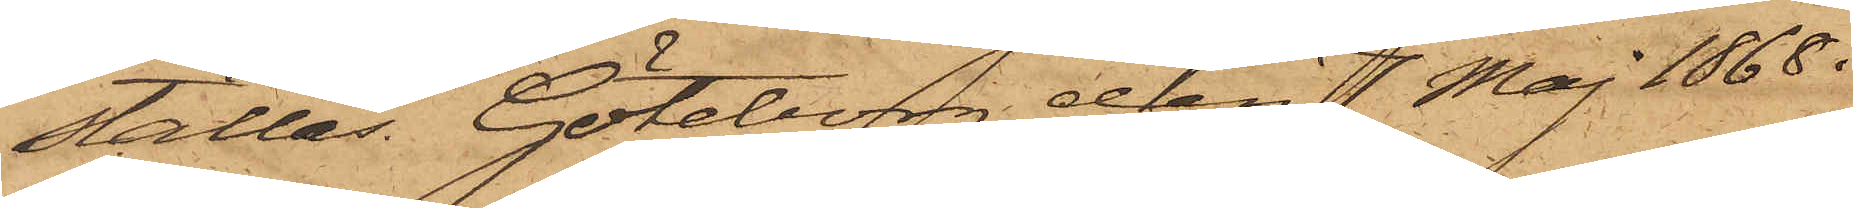ställas. Göteborg den 7 Maj 1868.
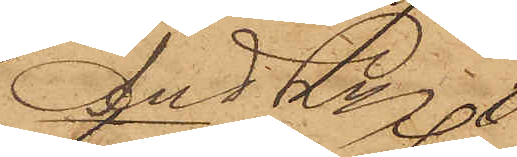And Ln
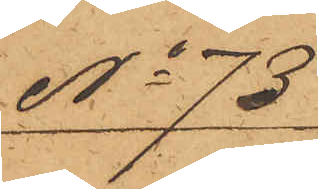No 73
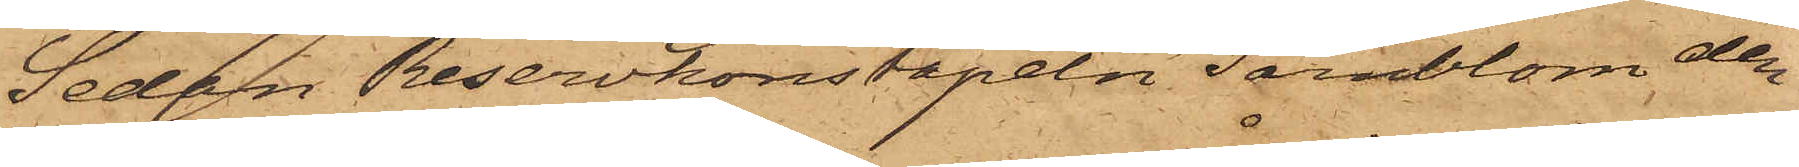Sedan Reservkonstapeln Särnblom den
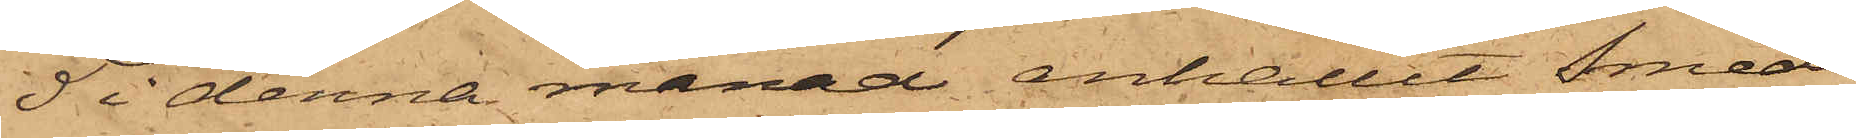5 i denna månad anhållit Smed¬
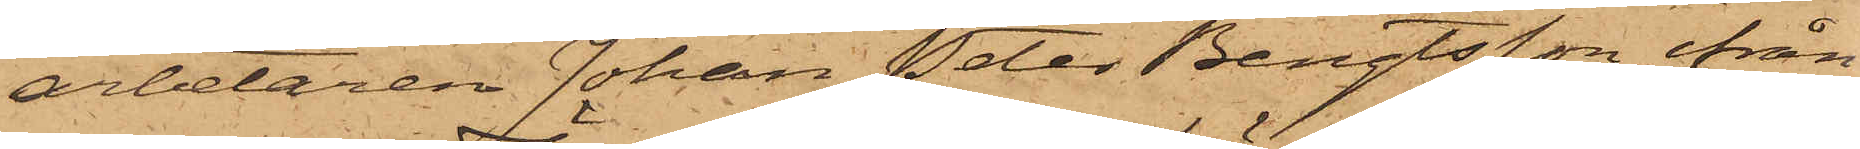arbetaren Johan Peter Bengtsson ifrån
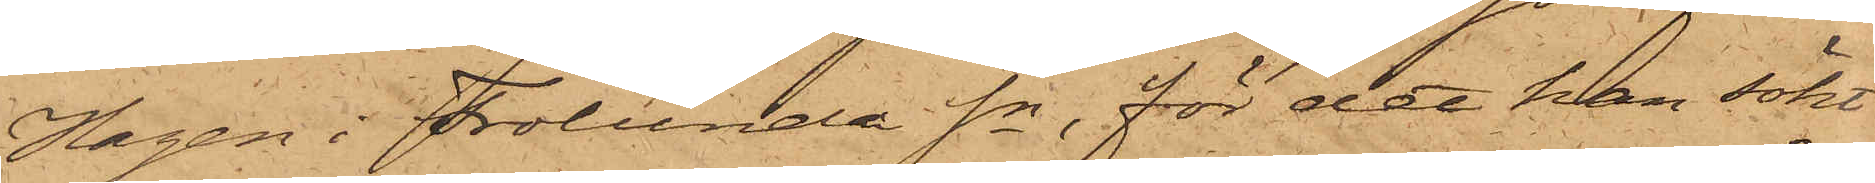Hagen i Frölunda Sn, för det han sökt
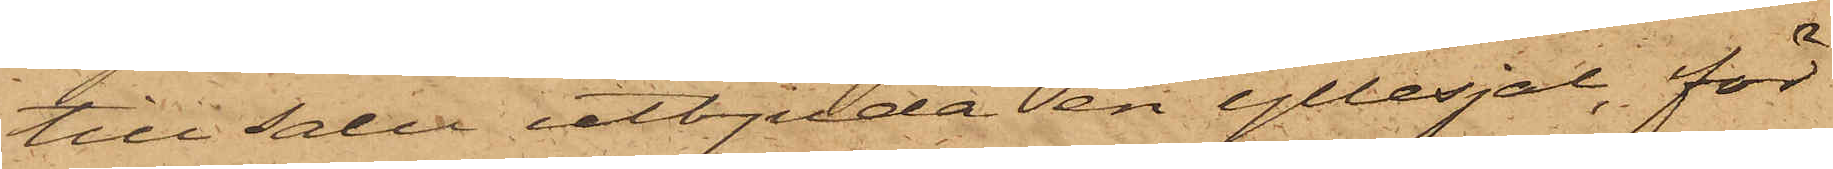till salu utbjuda en yllesjal, för
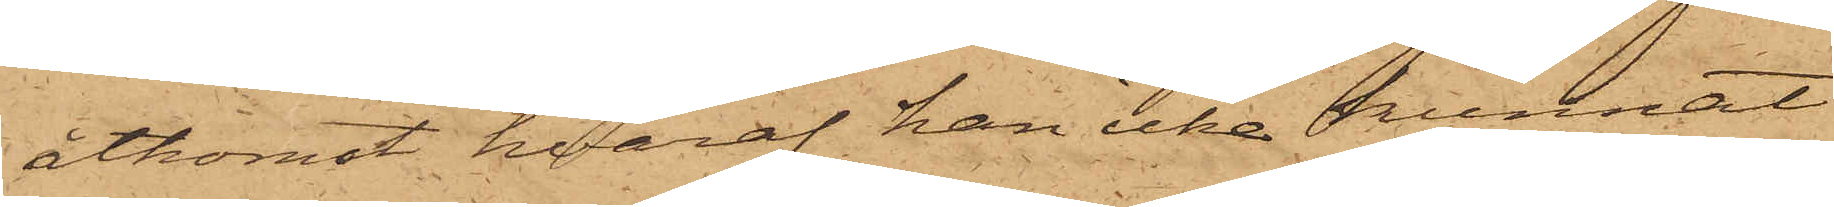åtkomst hvaraf han icke kunnat
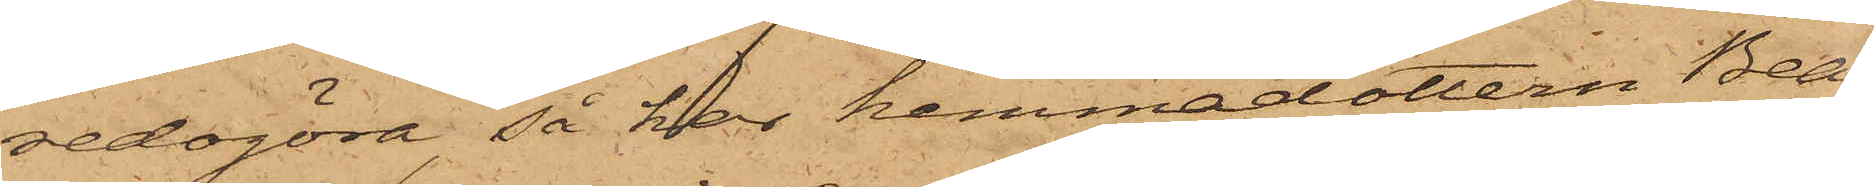redogöra, så har hemmadottern Bea¬
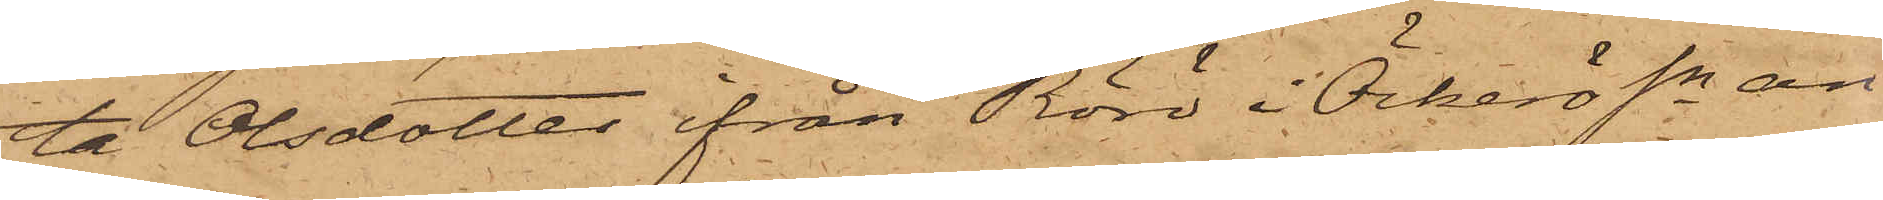ta Olsdotter från Rörö i Öckerö Sn an¬
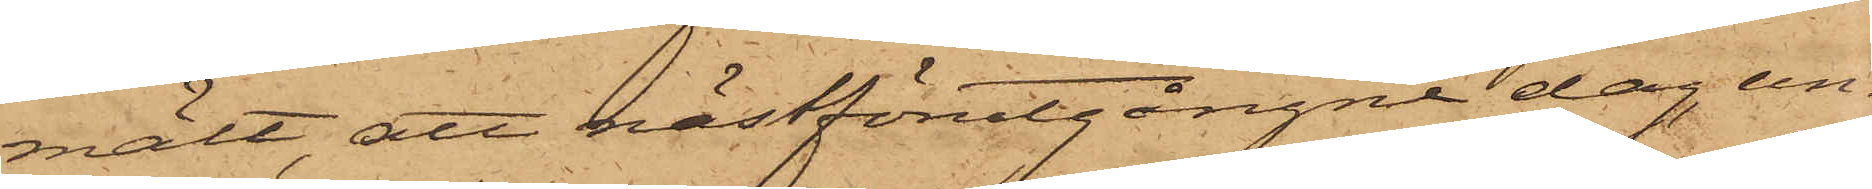mält, att nästförutgångne dag, un¬
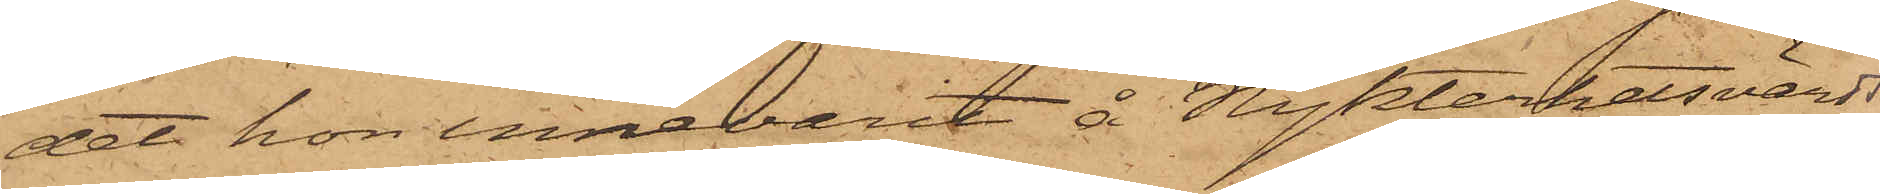det hon innevarit å Nykterhetsvärds¬
